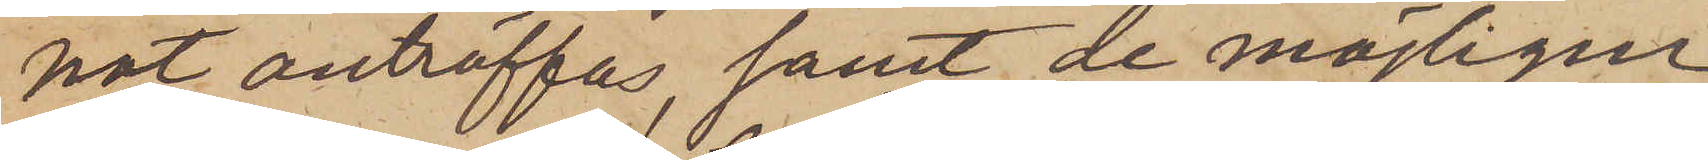nat anträffas, samt de möjligen
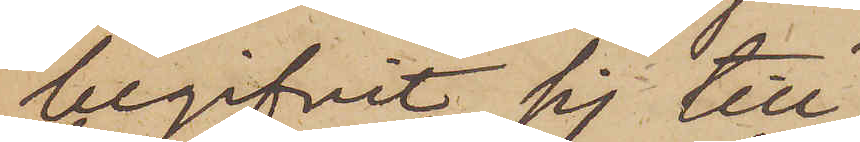begifvit sig till
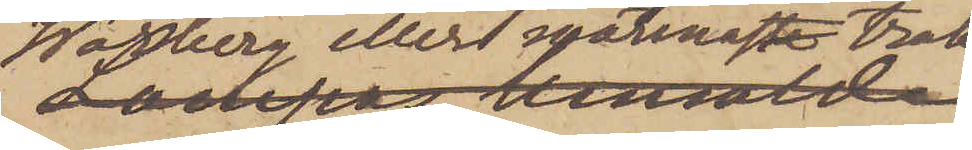Warberg eller närmaste trak¬
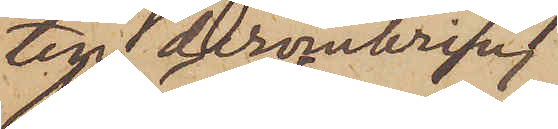ten deromkring,
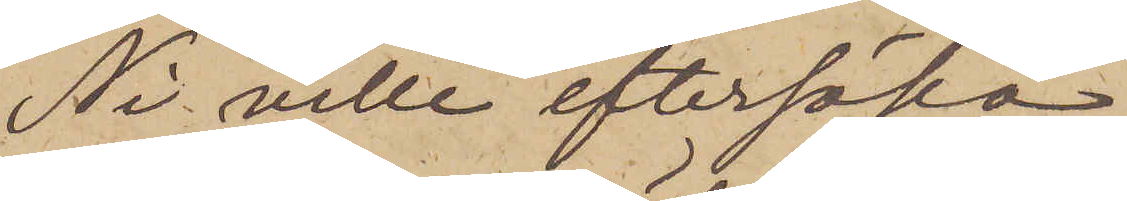Ni ville eftersöka
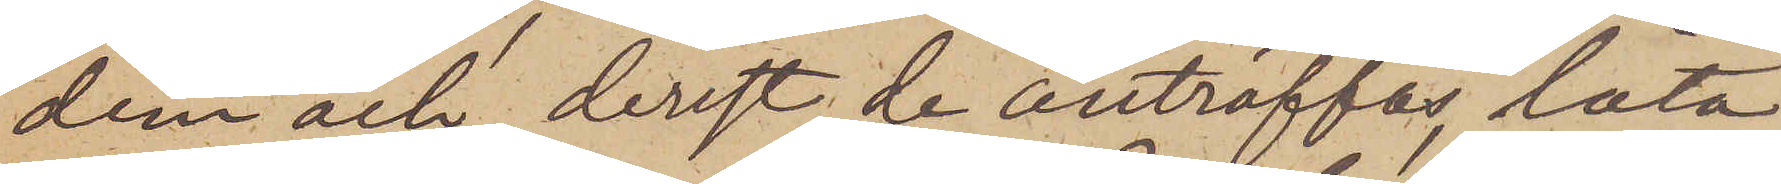dem och derest de anträffas, låta
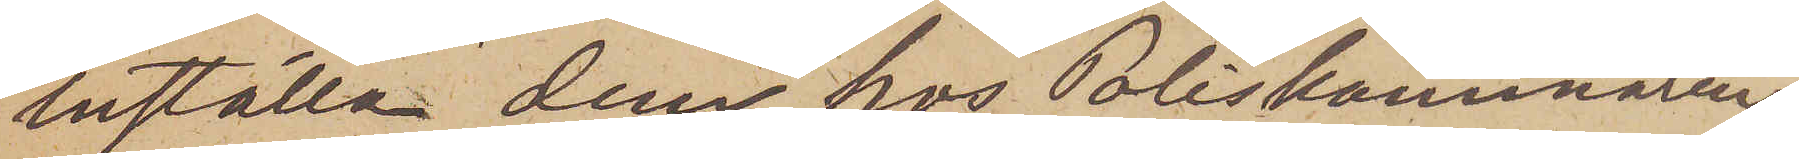inställa dem hos Poliskammaren.
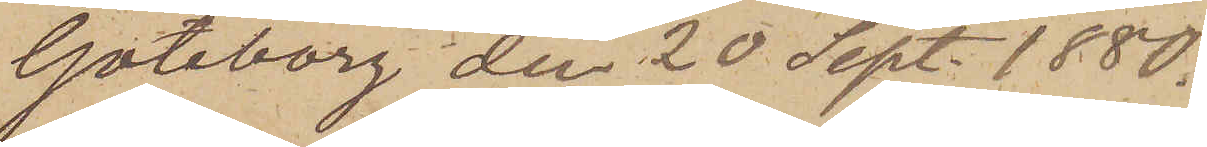Göteborg den 20 Sept. 1880.
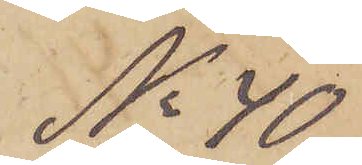No 40
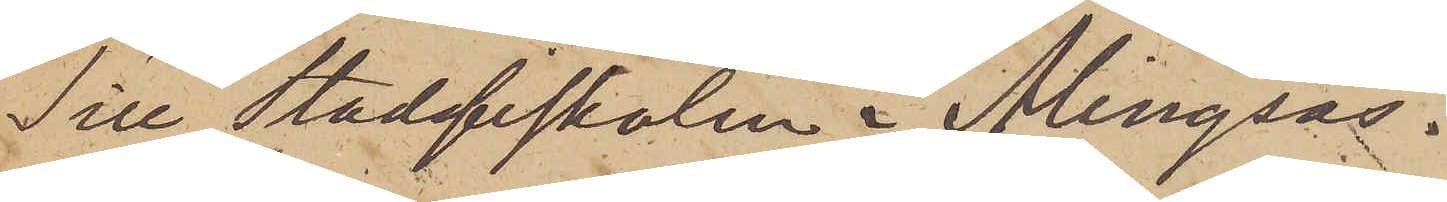Till Stadsfiskalen i Alingsås.
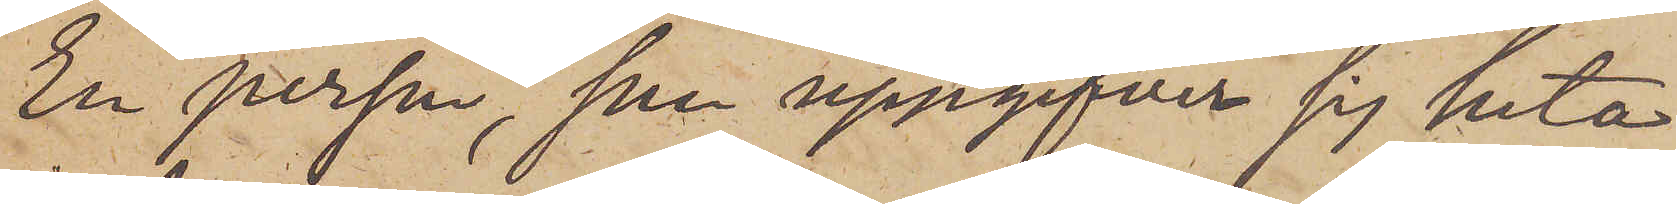En person, som uppgifver sig heta
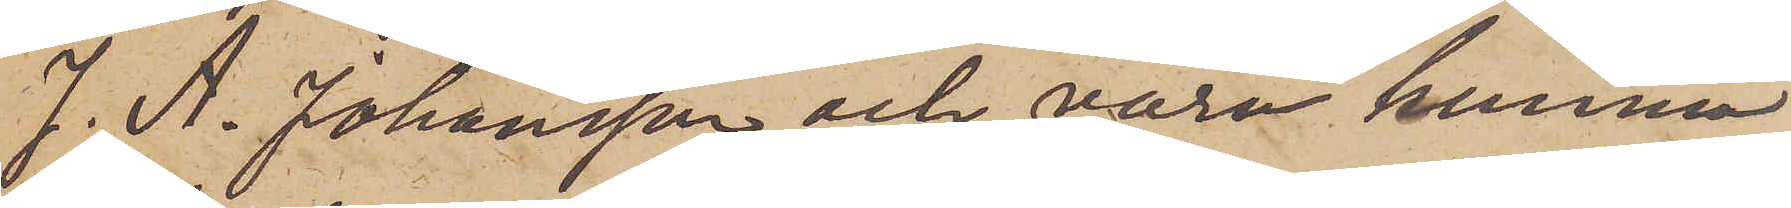J. A. Johansson och vara hemma
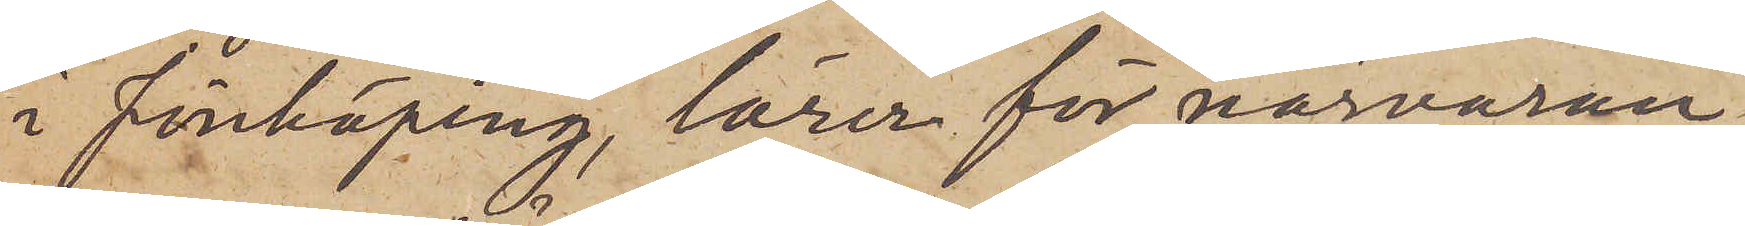i Jönköping, lärer för närvaran¬
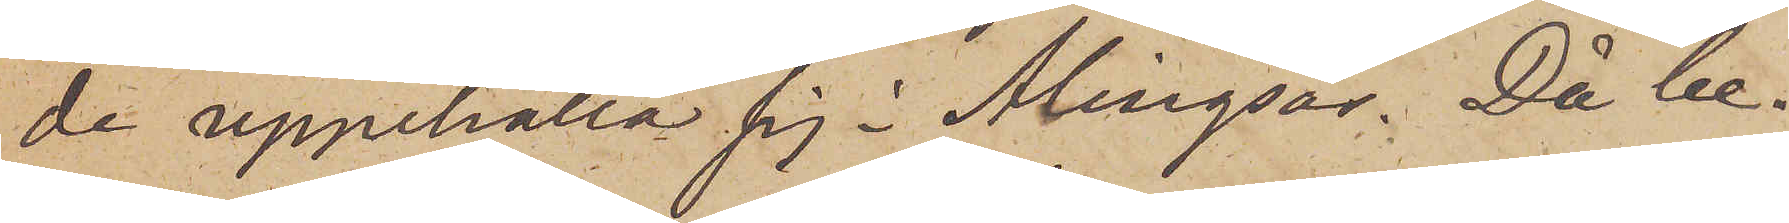de uppehålla sig i Alingsås. Då be¬
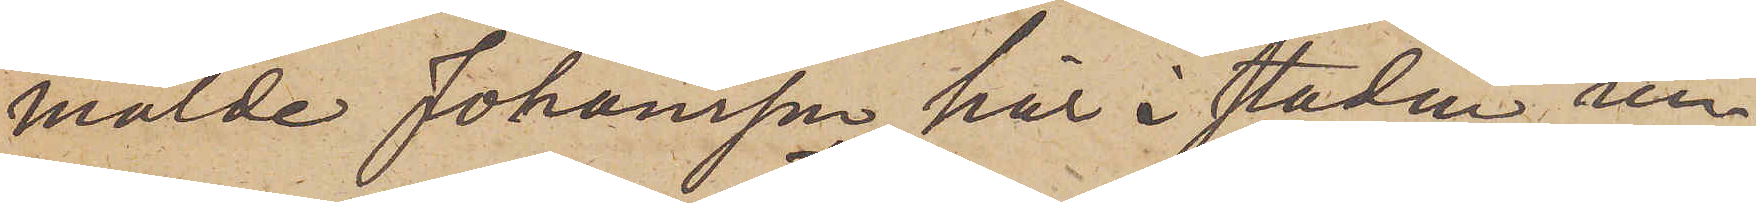mälde Johansson här i staden un¬
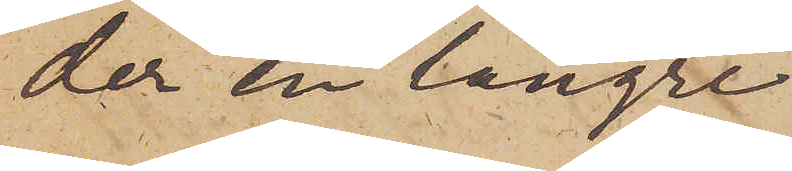der en längre
